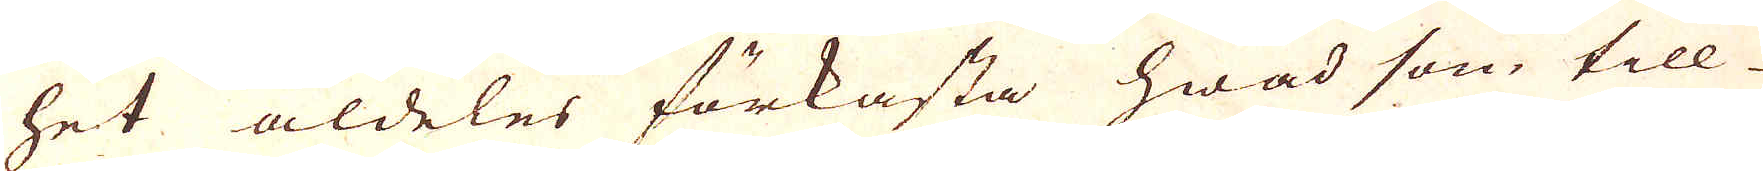het aldeles förkasta hwad som till
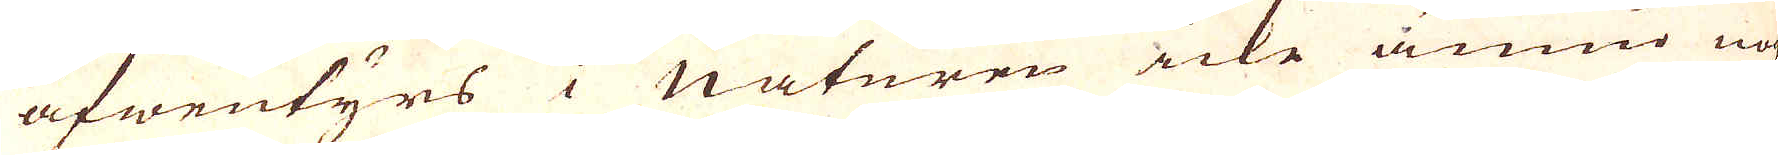äfwentyrs i Naturen icke ännu nog-
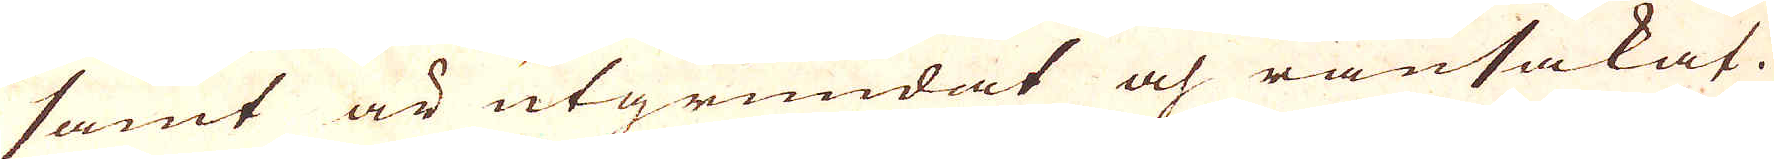samt är utgrundat och ransakat.
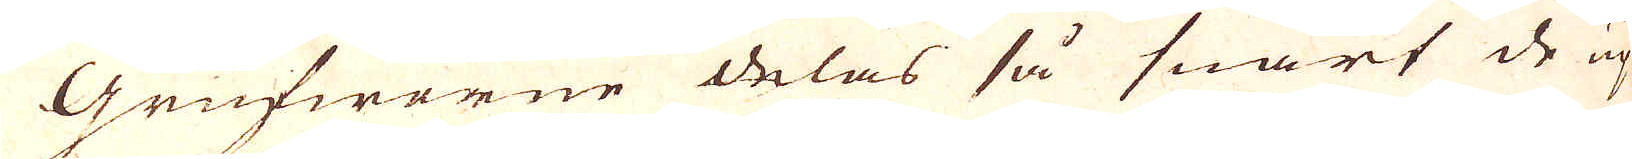Grufwerne delas så snart de up-
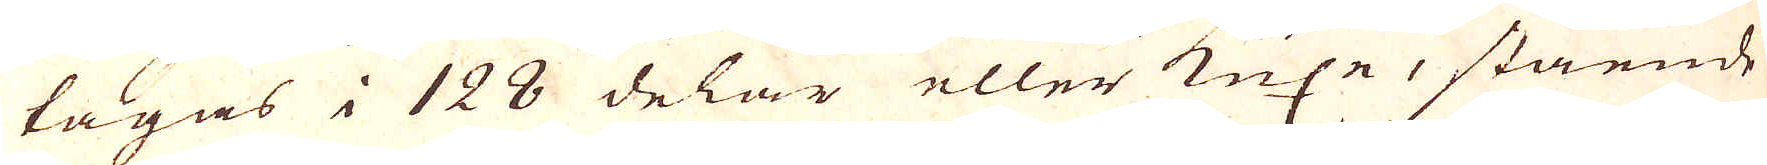tagas i 128 delar eller Kuxe, stående
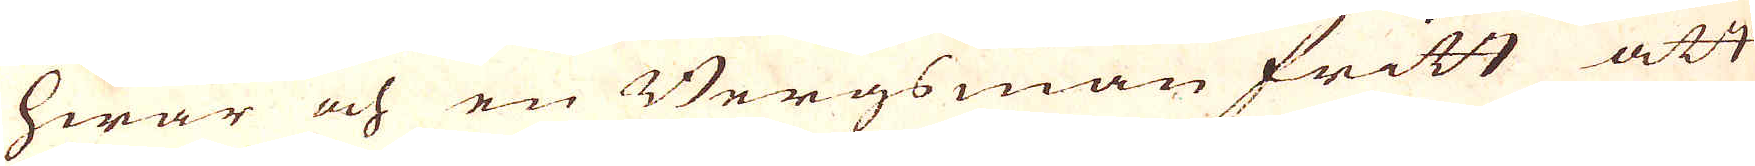hwar och en Bergsman fritt att
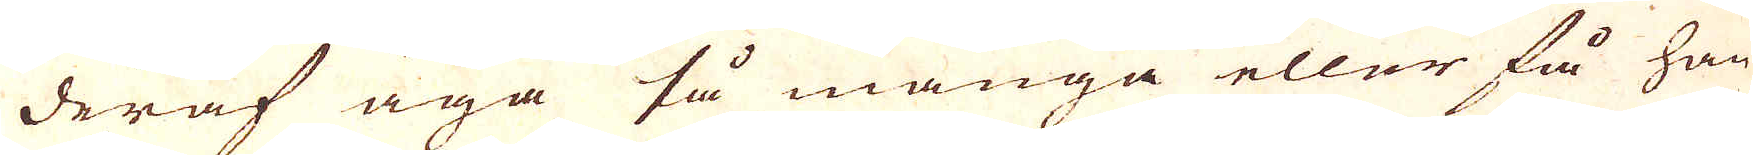deraf äga så många eller få han
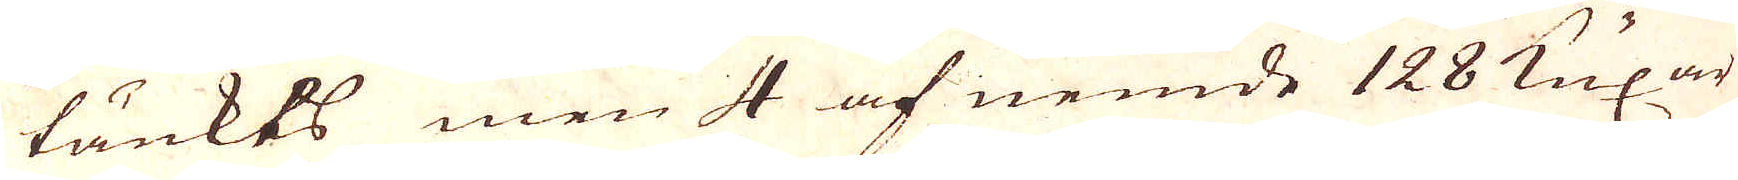tänkts men 4 af nemde 128 Kuxar
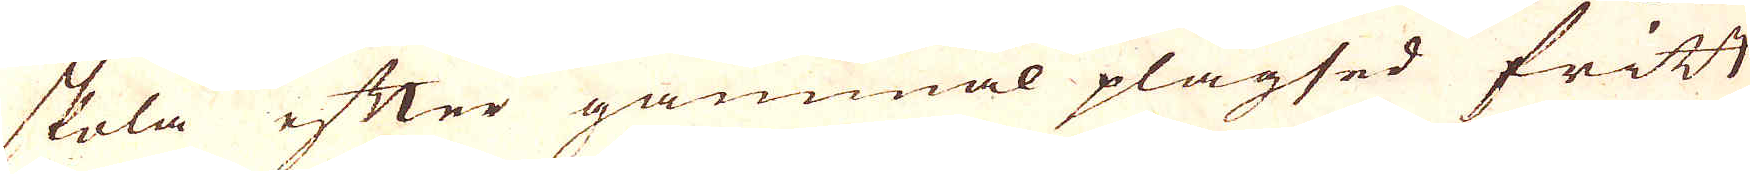skola efter gammal plägsed fritt
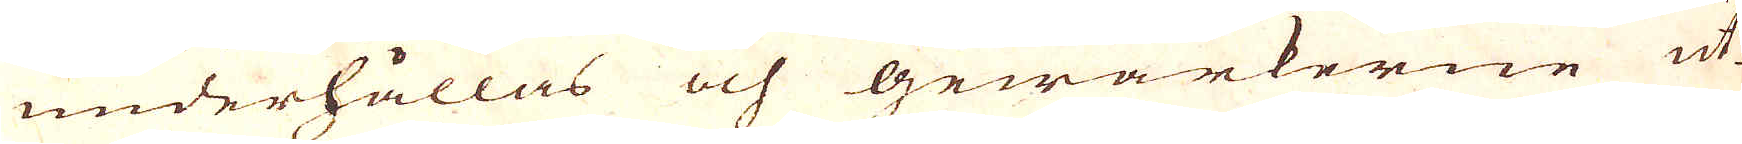underhållas och gewärkerne ut-
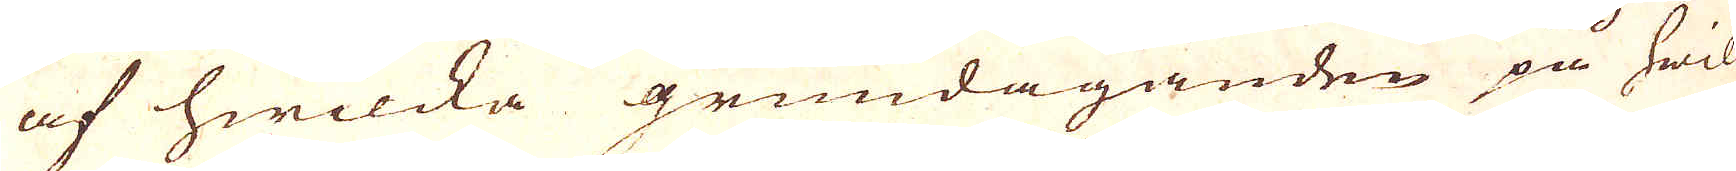af hwilcka grundäganden på hwil-
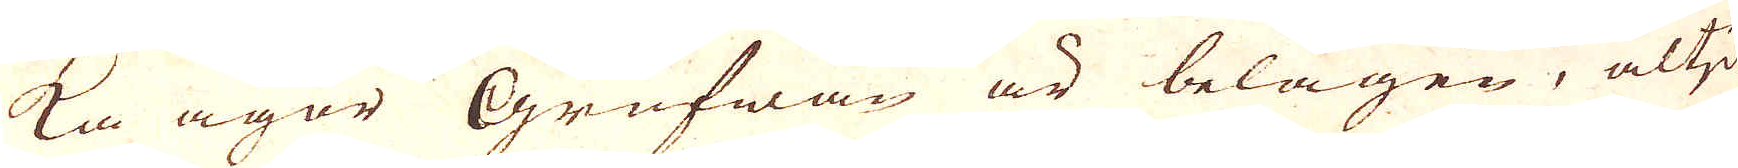ka ägor Grufwan är belägen, altid
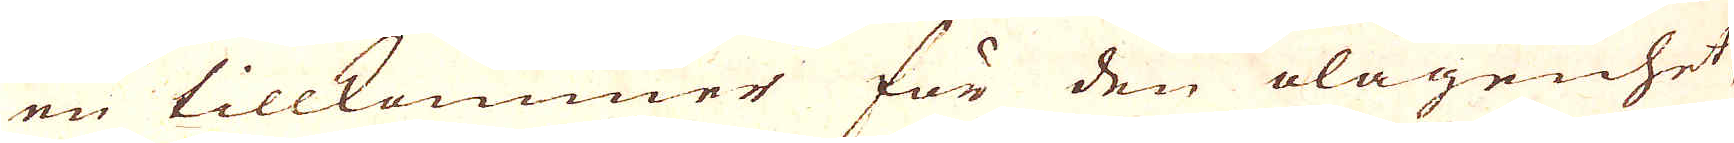en tillkommer för den olägenhet,
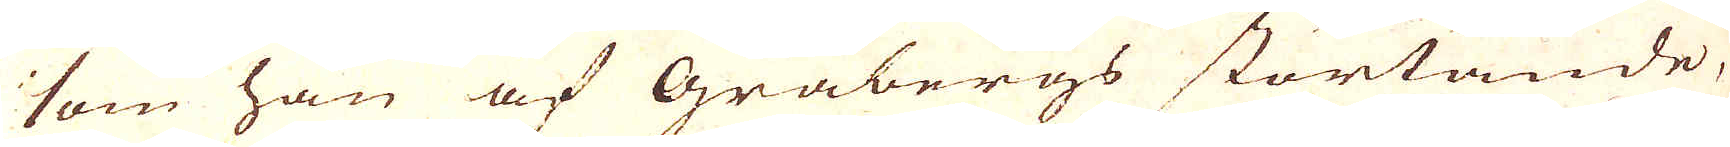som han af Gråbergs störtande,
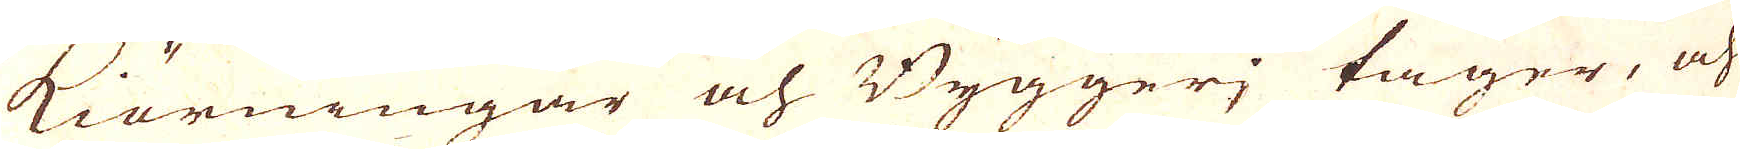kiörningar och Byggeri tager, och
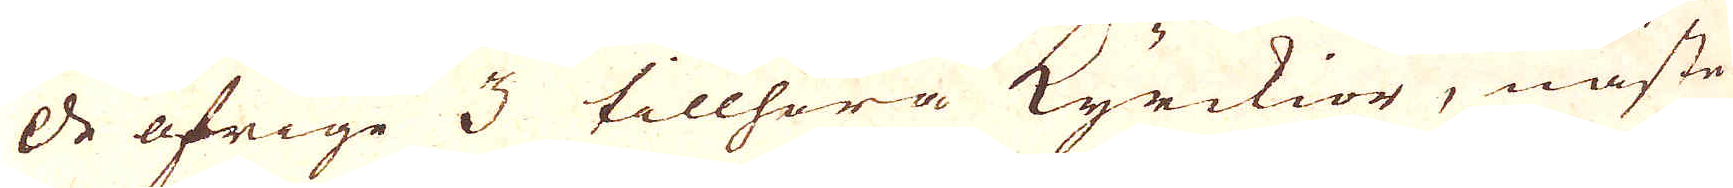de öfrige 3 tillhöra Kyrckior i näste
